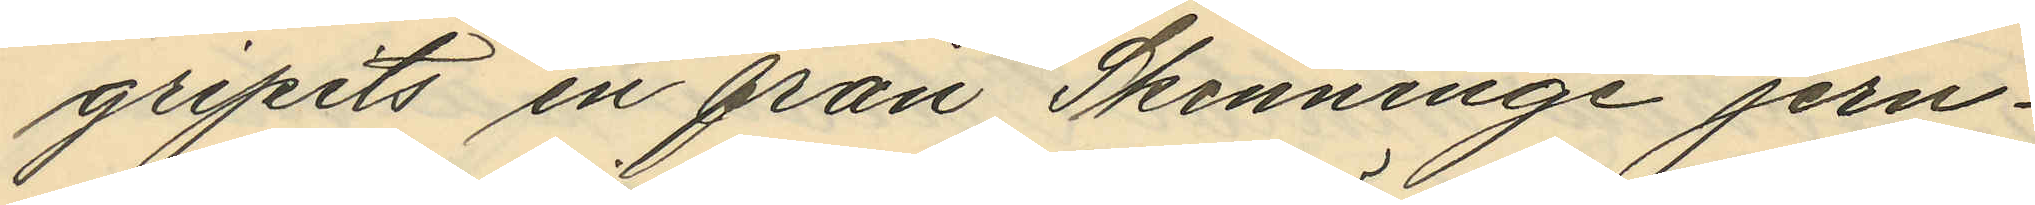gripits en från Skenninge jern¬
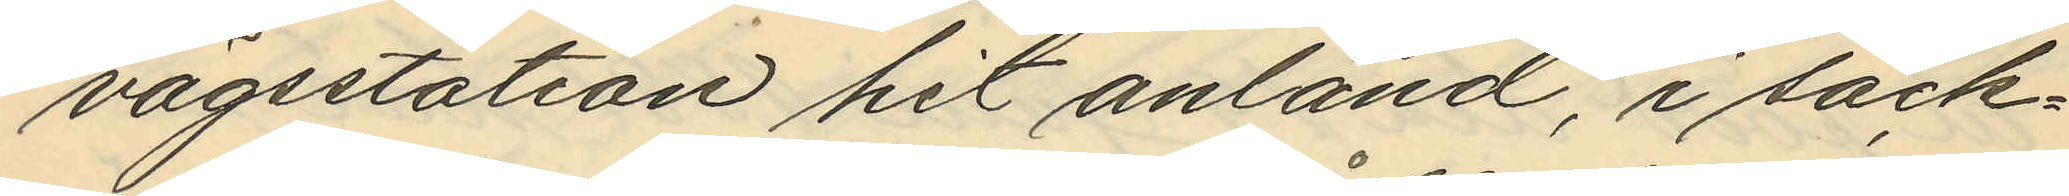vägsstation hit anländ, i säck¬
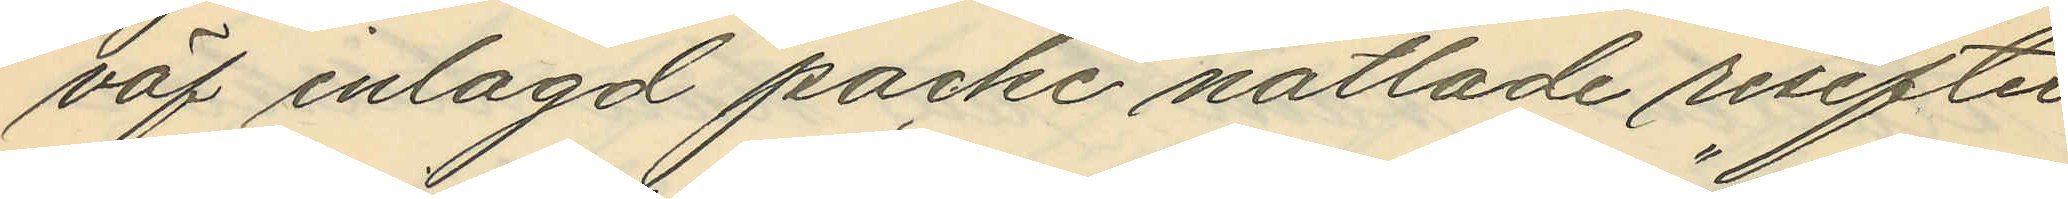väf inlagd packe nåtlade resefter
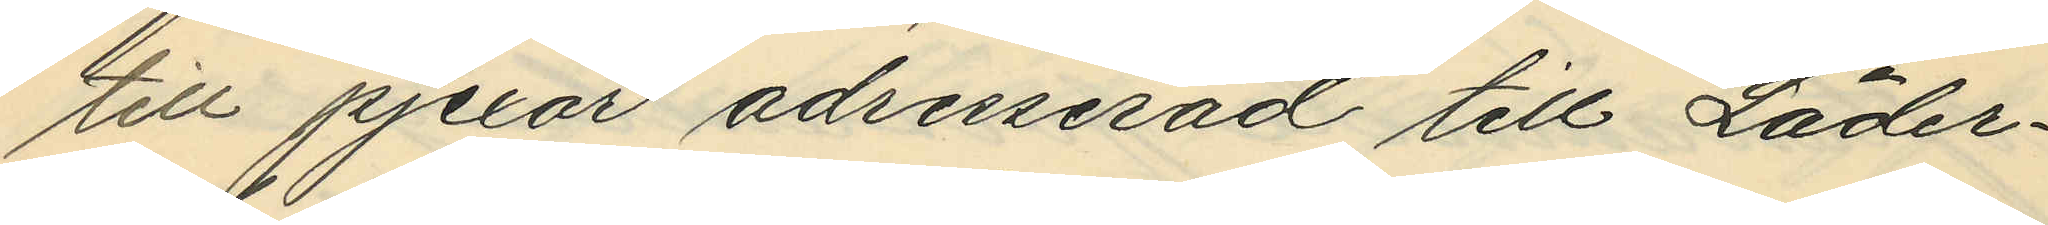till pjexor adresserad till "Läder¬
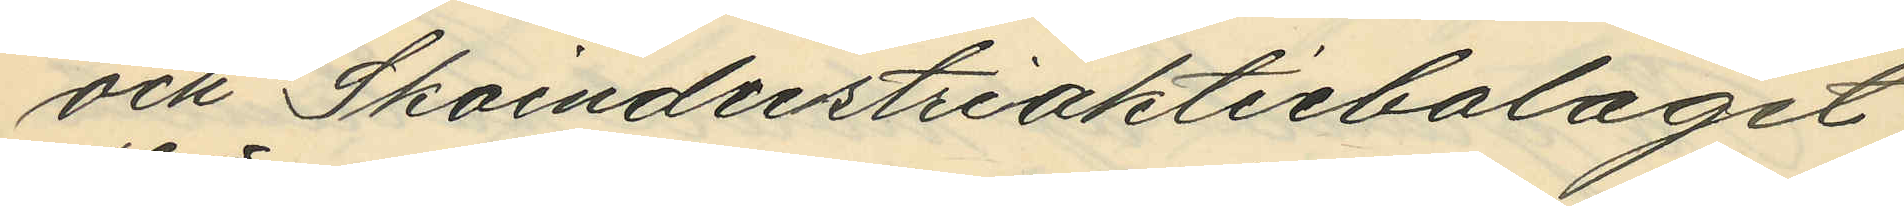och Skoindustriaktiebolaget
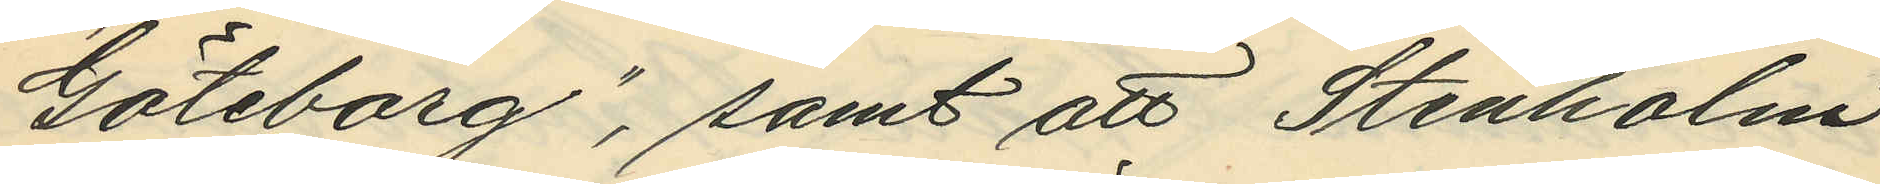Göteborg", samt att Stenholm
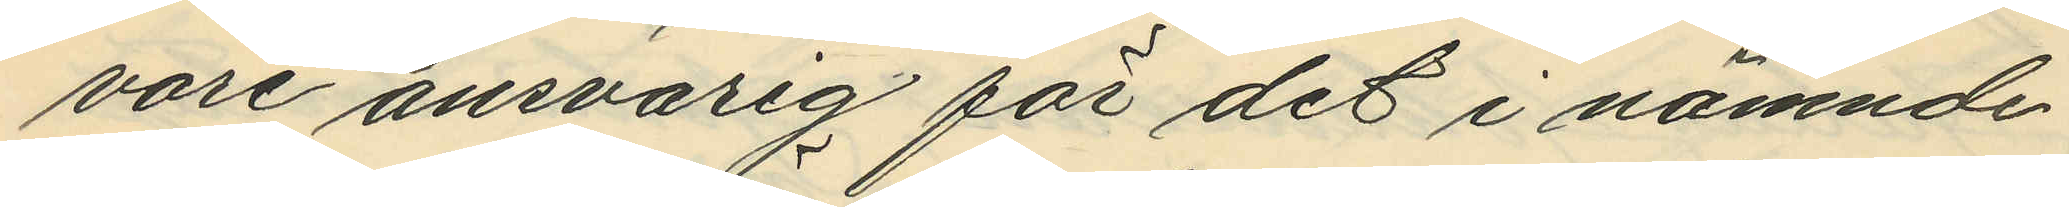vore ansvarig för det i nämnde
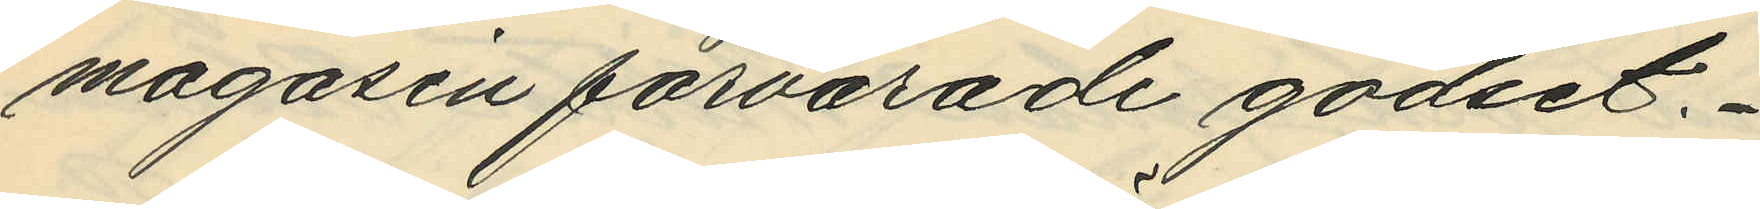magasin förvarade godset.
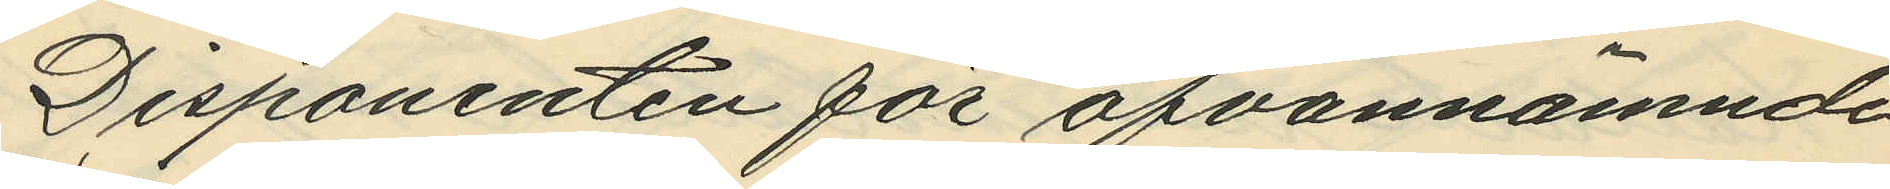Disponenten för ofvannämnde
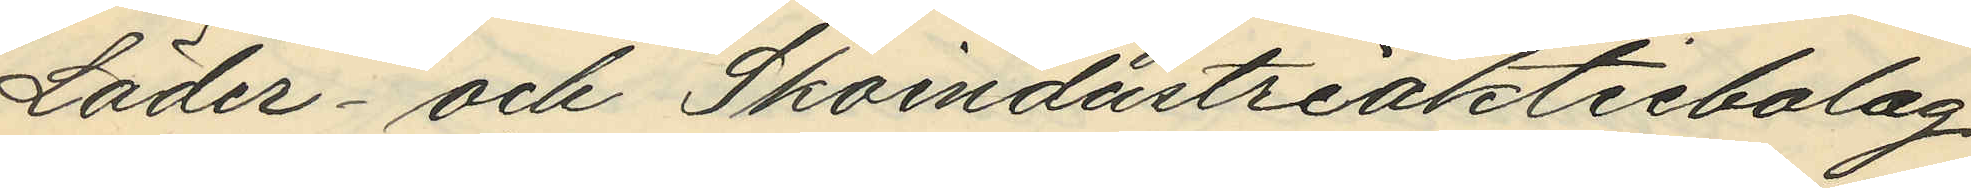Läder- och Skoindustriaktiebolag
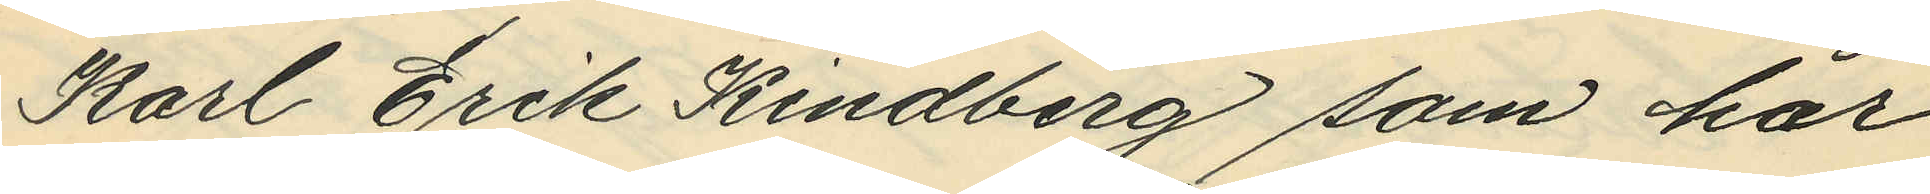Karl Erik Kindberg som har
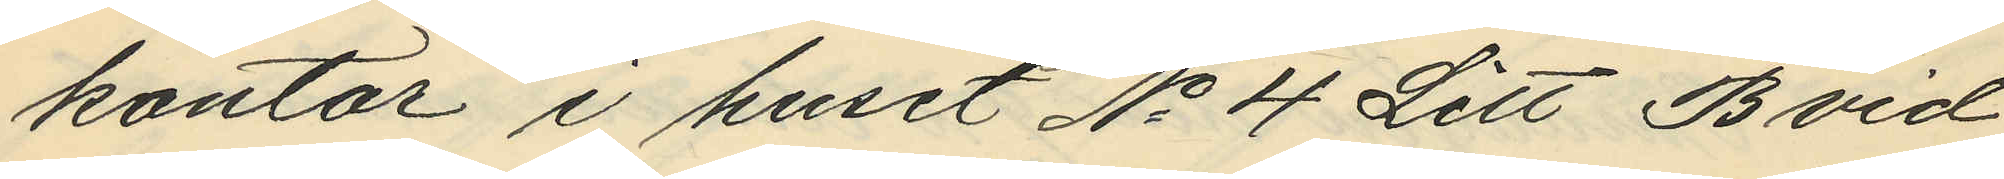kontor i huset No 4 Litt B vid
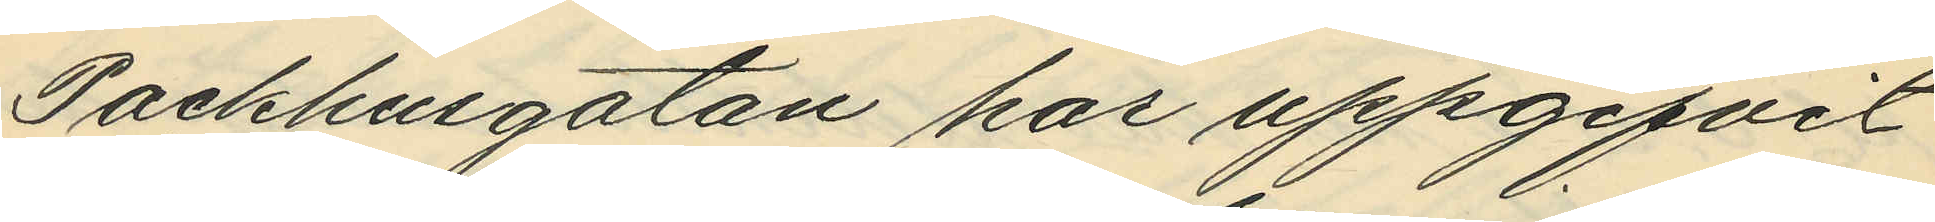Packhusgatan har uppgifvit
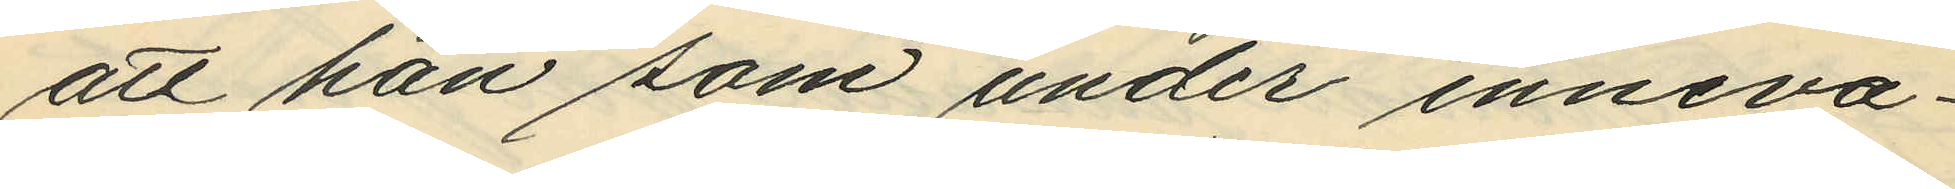att han som under inneva¬
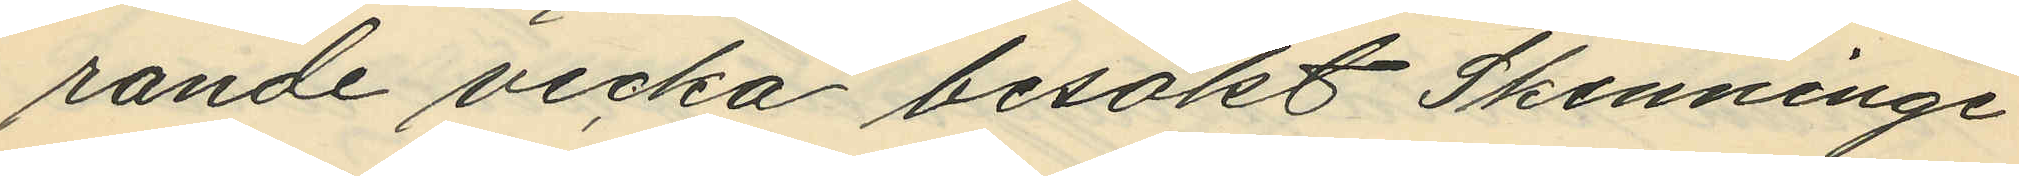rande vecka besökt Skenninge
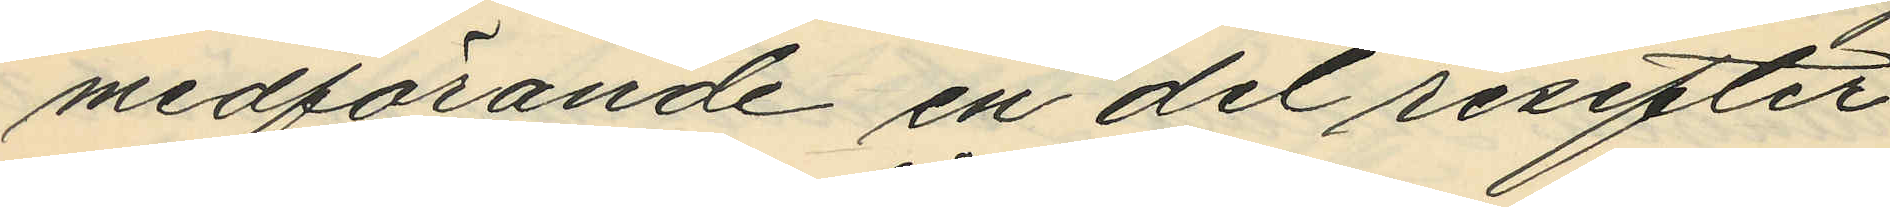medförande en del resefter
